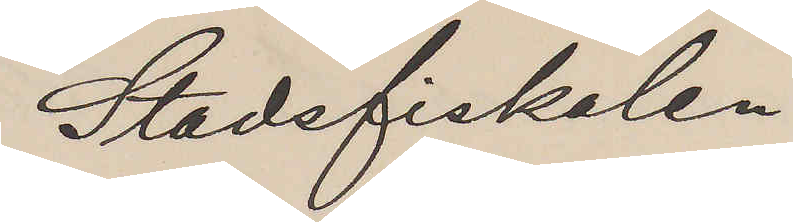Stadsfiskalen
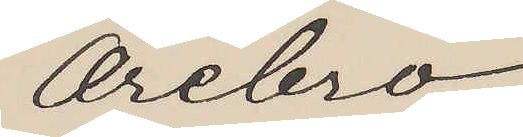Örebro.
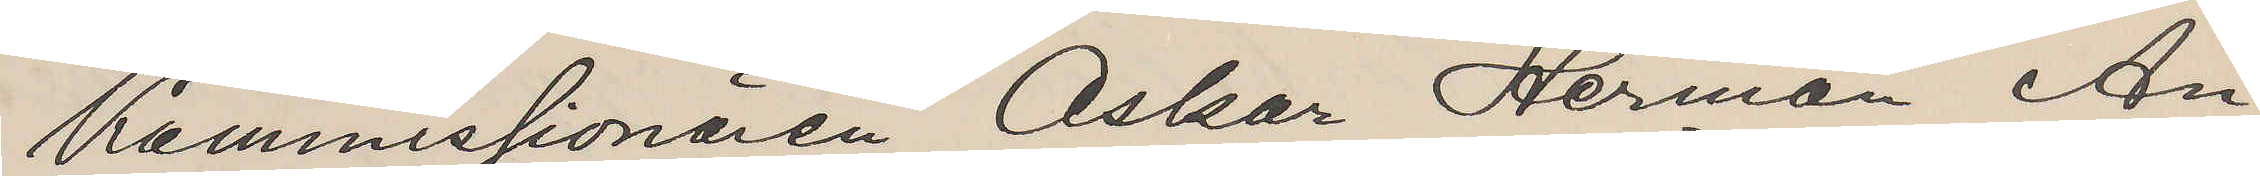Kommissionären Oskar Herman An¬
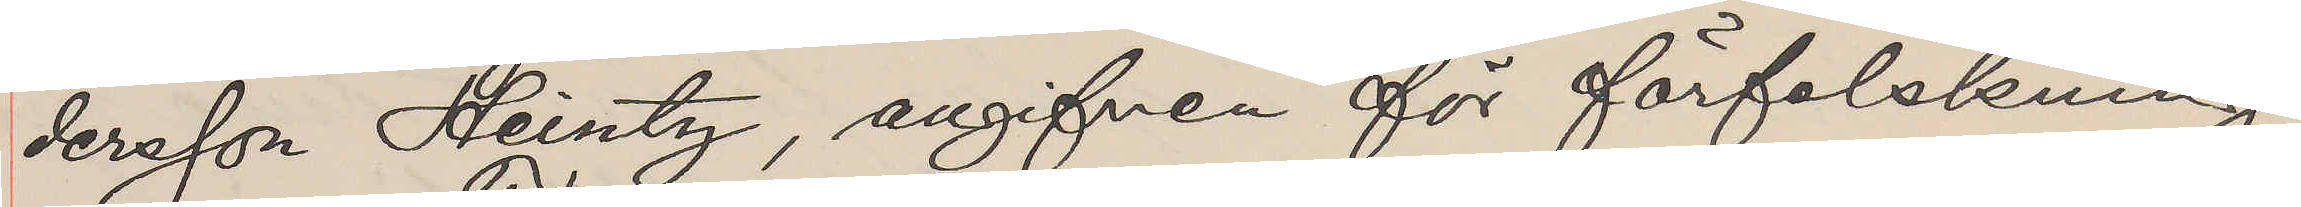dersson Heintz, angifven för förfalskning,
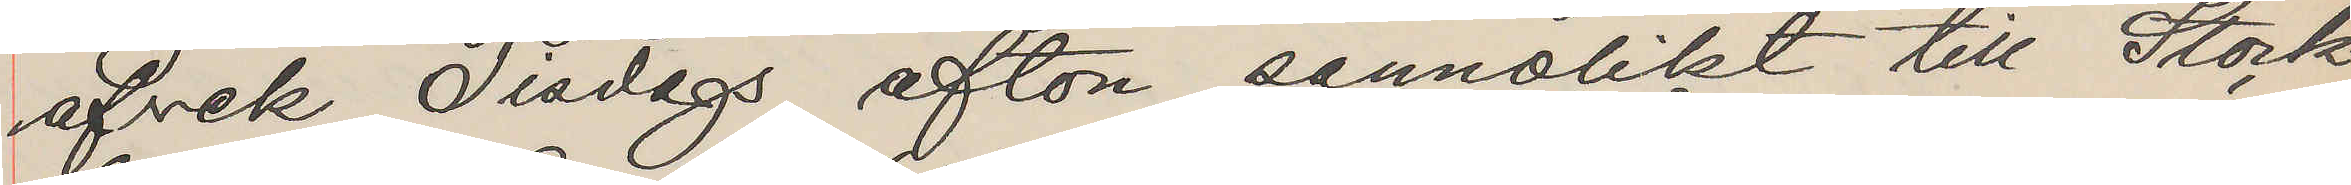afvek Tisdags afton, sannolikt till Stock
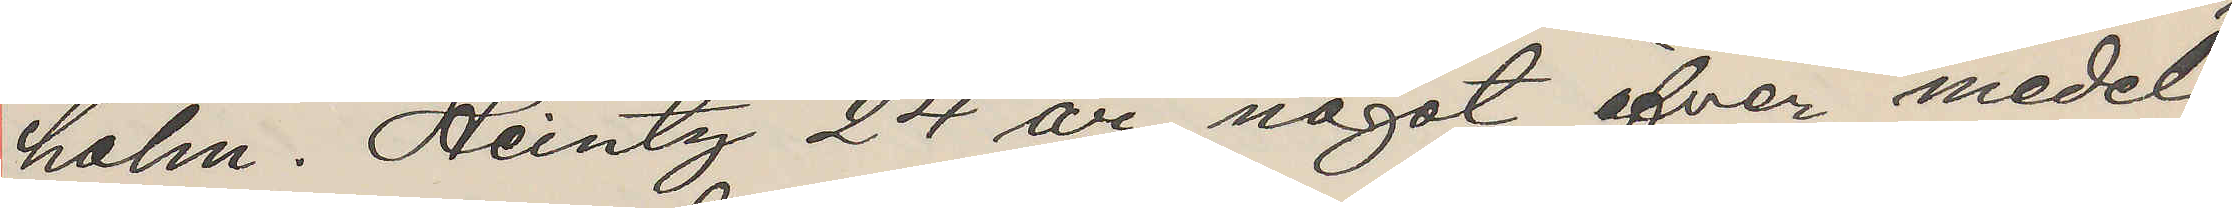holm. Heintz 24 år, något öfver medel¬
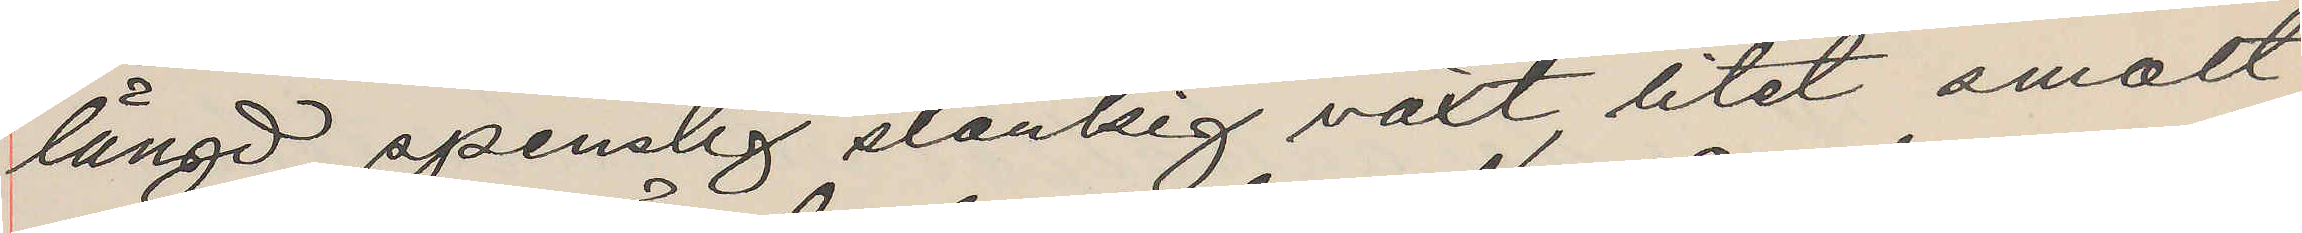längd, spenslig slankig växt, litet smalt
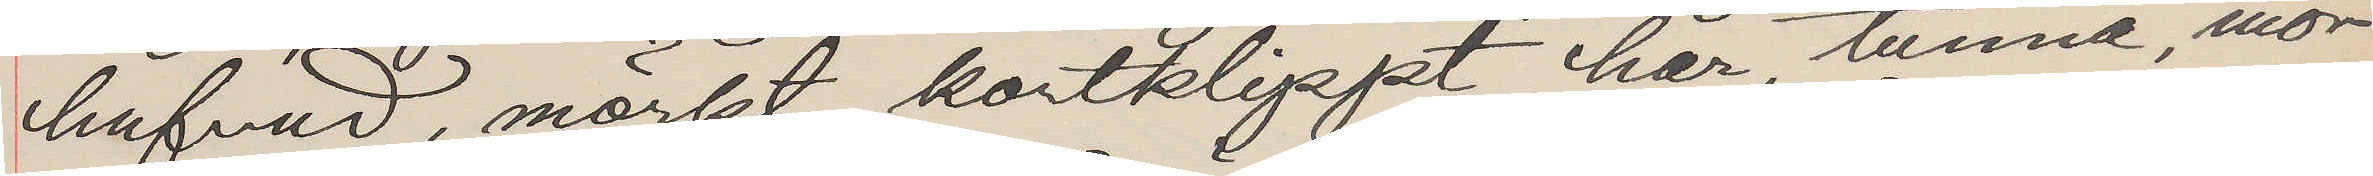hufvud, mörkt kortklippt hår, tunna, mör¬
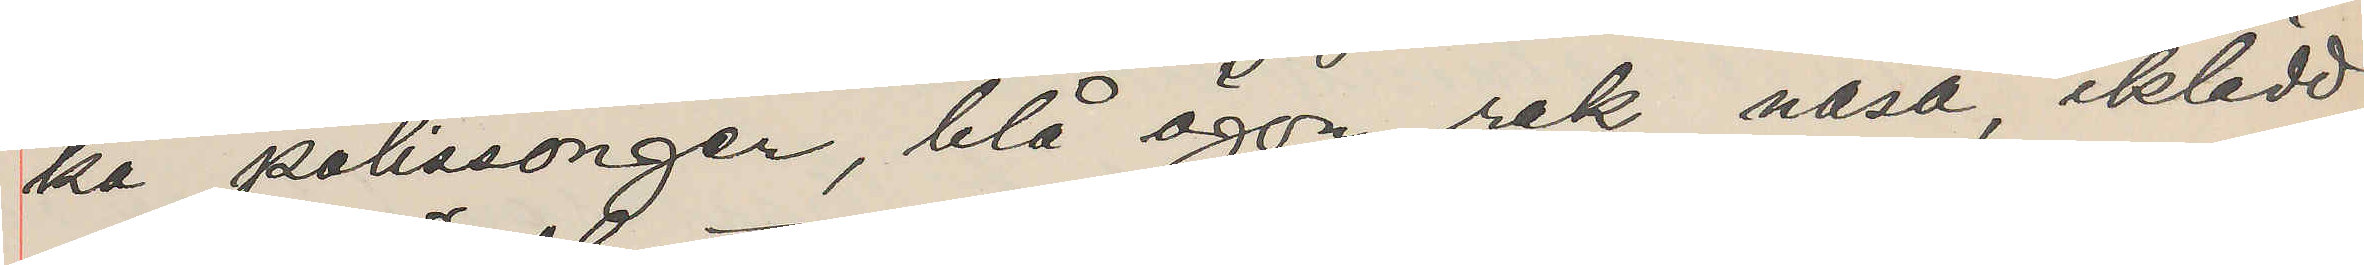ka polissonger, blå ögon, rak näsa, iklädd
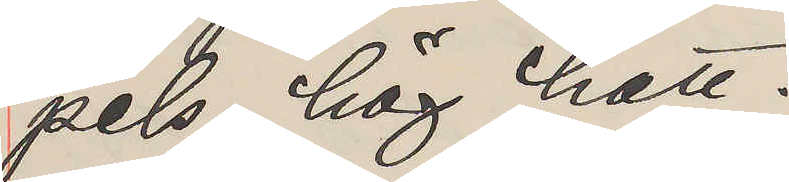pels, hög hatt.
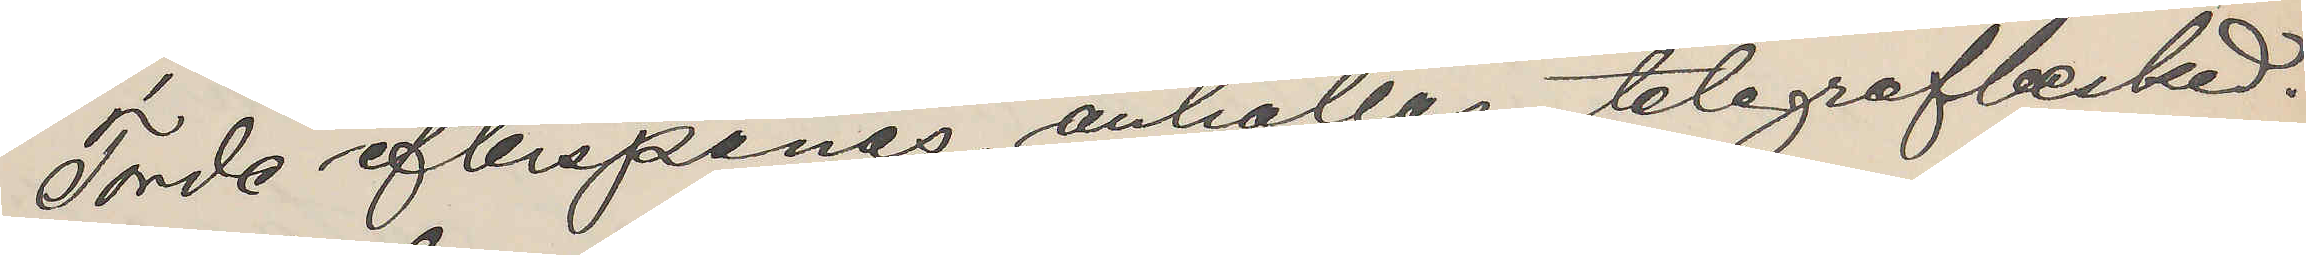Torde efterspanas, anhållas, telegrafbesked.
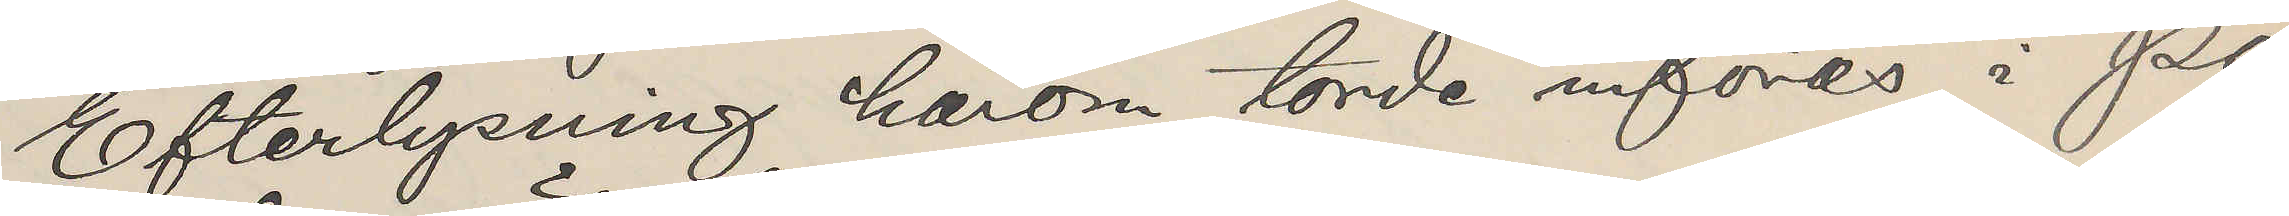Efterlysning härom torde införas i Po¬
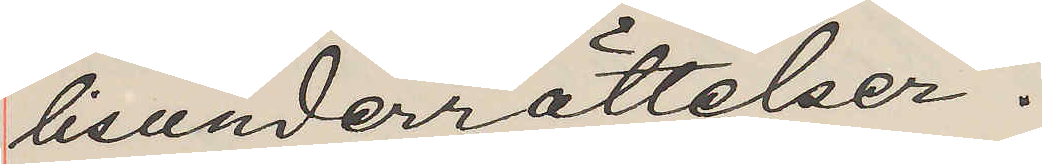lisunderrättelser.
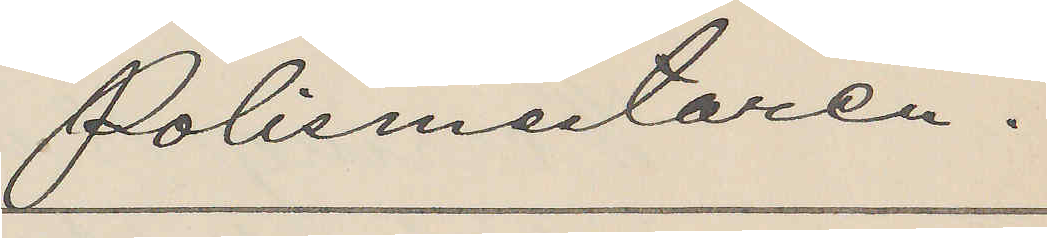Polismästaren.
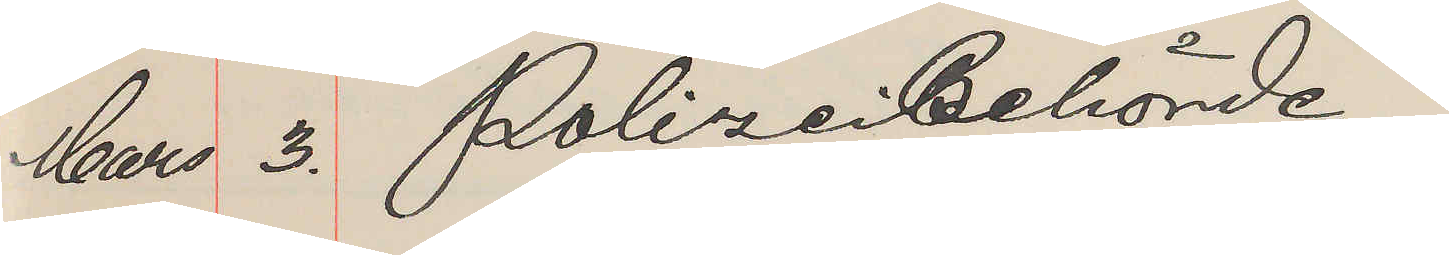Mars 3. Polizei Behörde
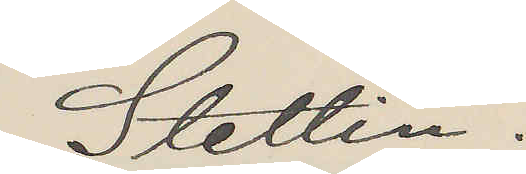Stettin.
